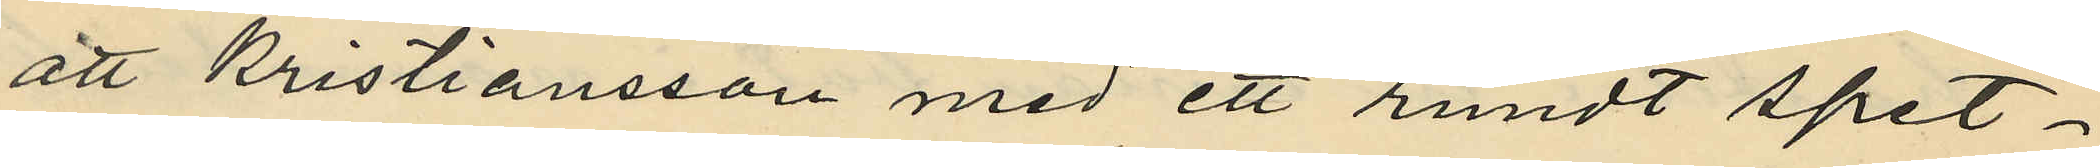att Kristiansson med ett rundt spet¬
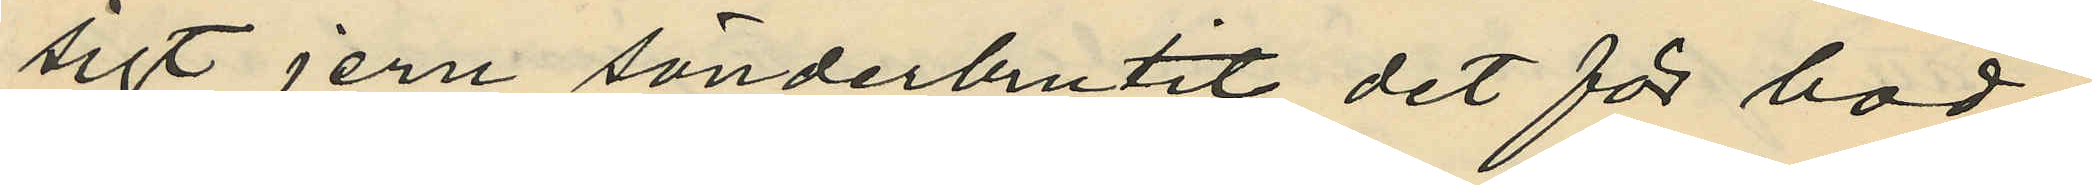sigt jern sönderbrutit det för bod¬
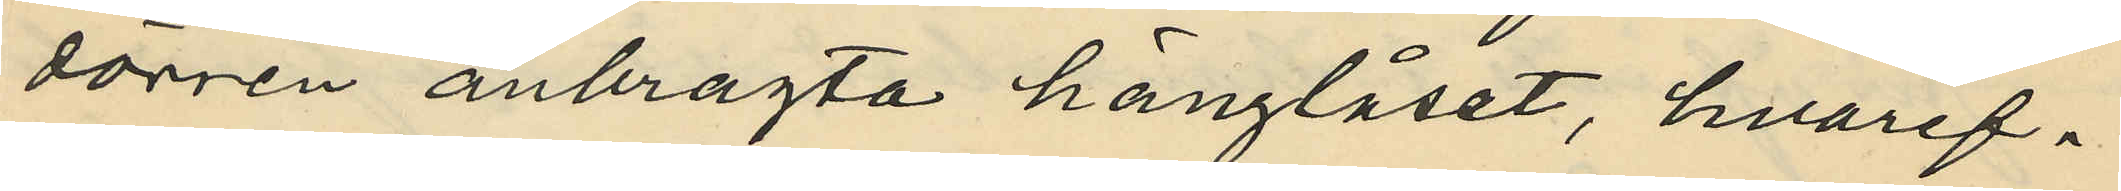dörren anbragta hänglåset, hvaref¬
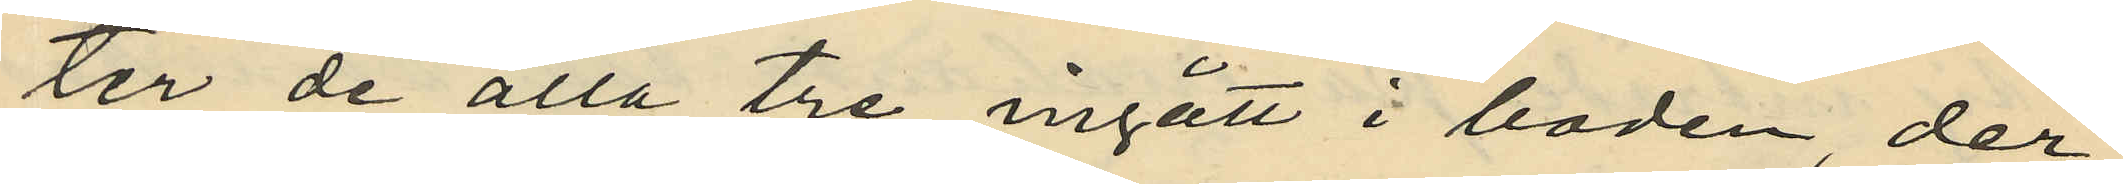ter de alla tre ingått i boden, der
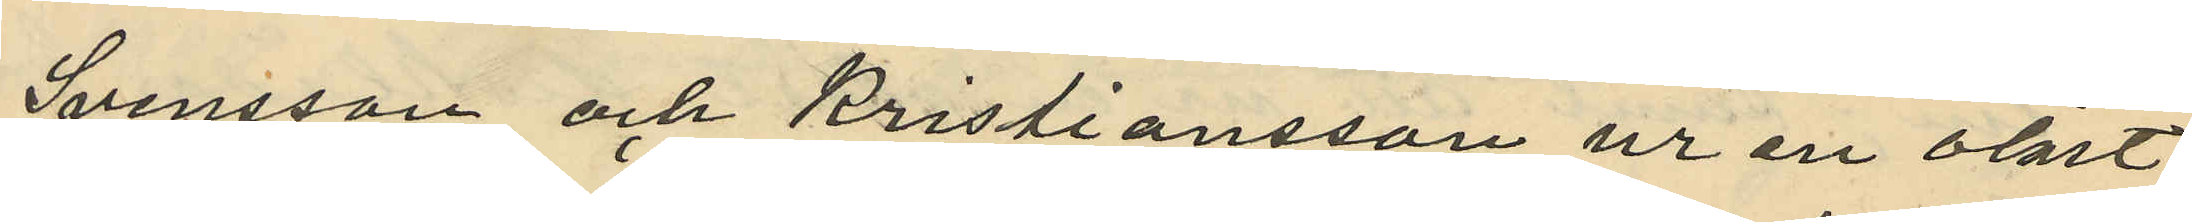Svensson och Kristiansson ur en olåst
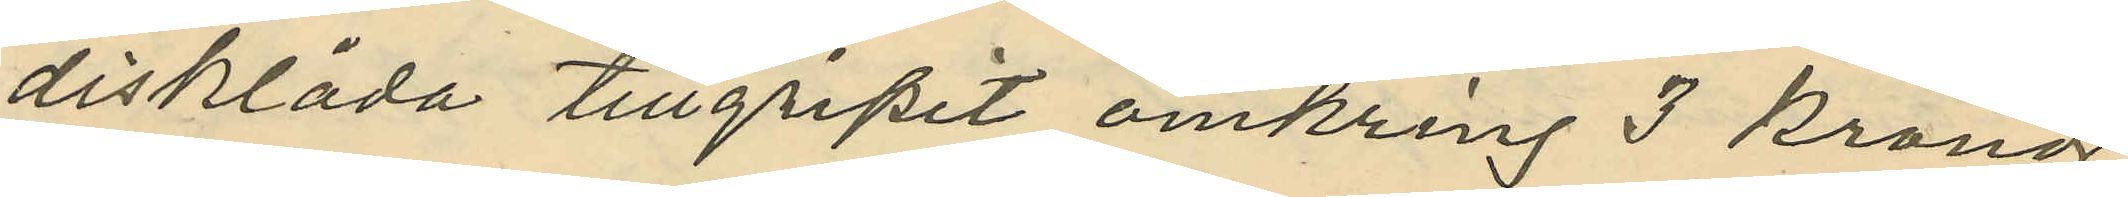disklåda tillgripit omkring 3 kronor
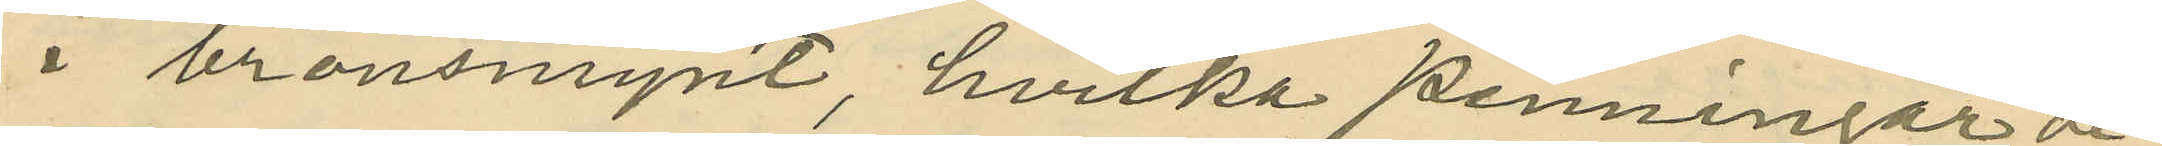i bronsmynt, hvilka penningar de
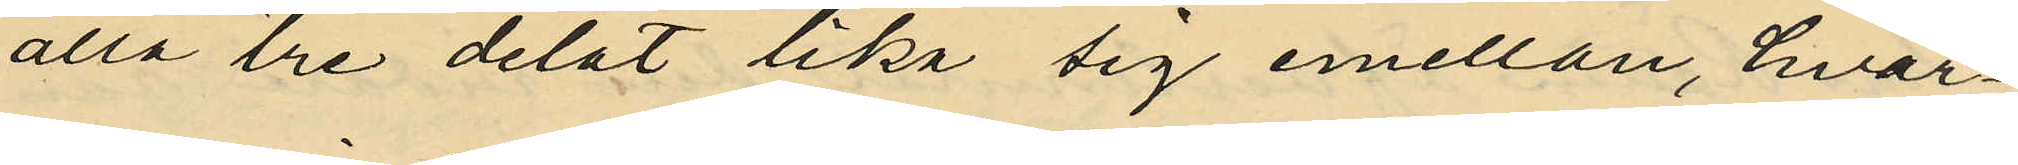alla tre delat lika sig emellan, hvar¬
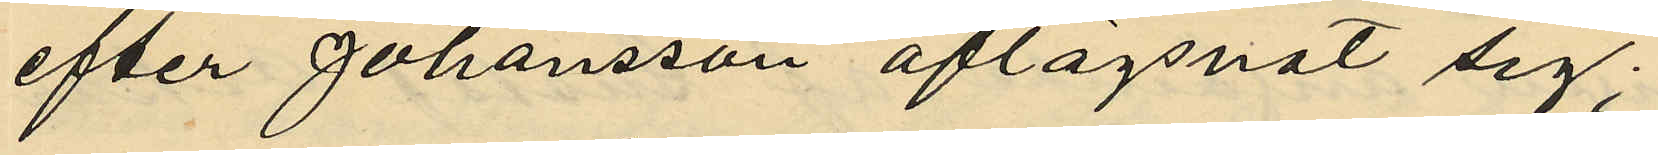efter Johansson aflägsnat sig;
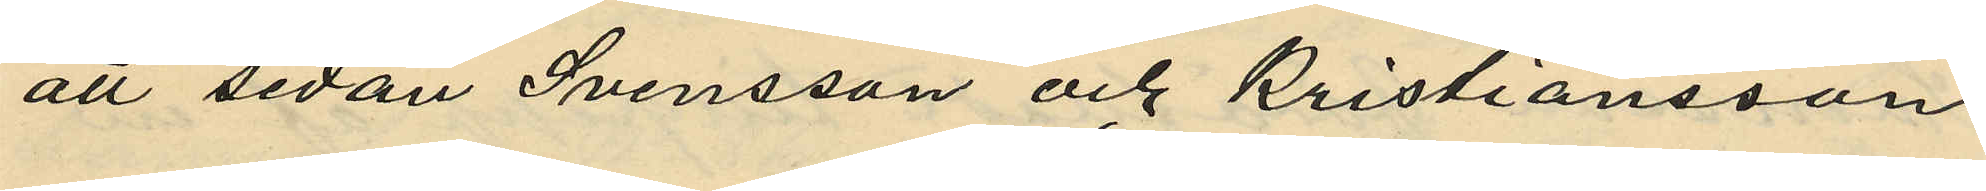att sedan Svensson och Kristiansson
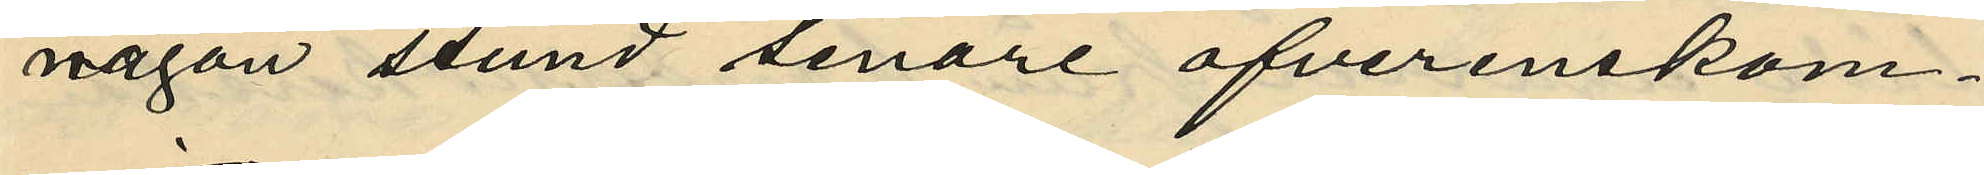någon stund senare öfverenskom¬
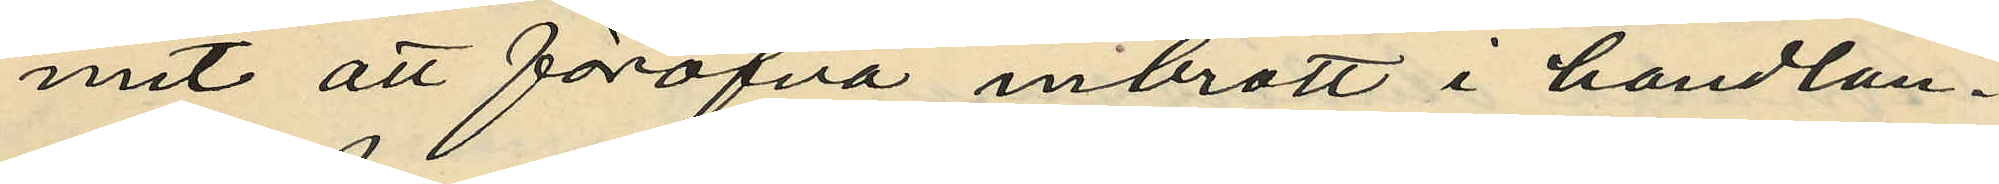mit att föröfva inbrott i handlan¬
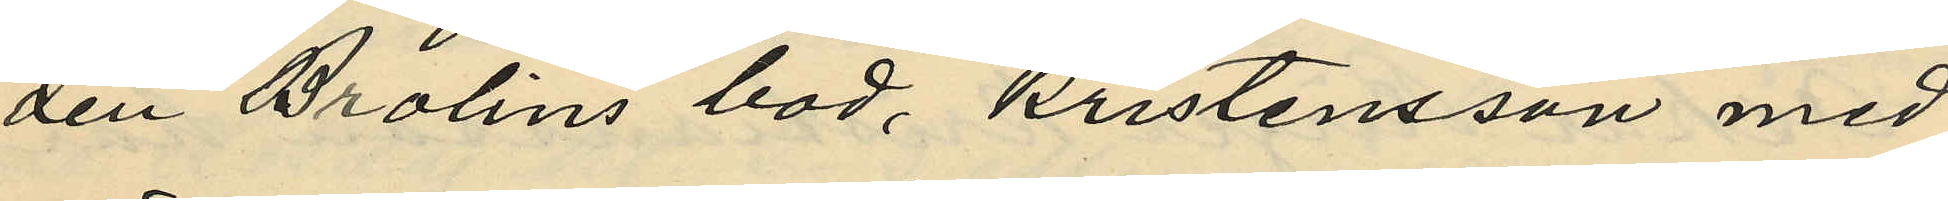den Brolins bod, Kristensson med
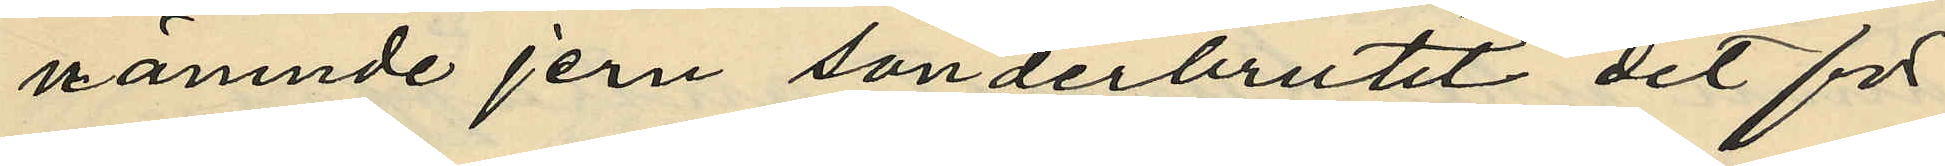nämnde jern sönderbrutit det för
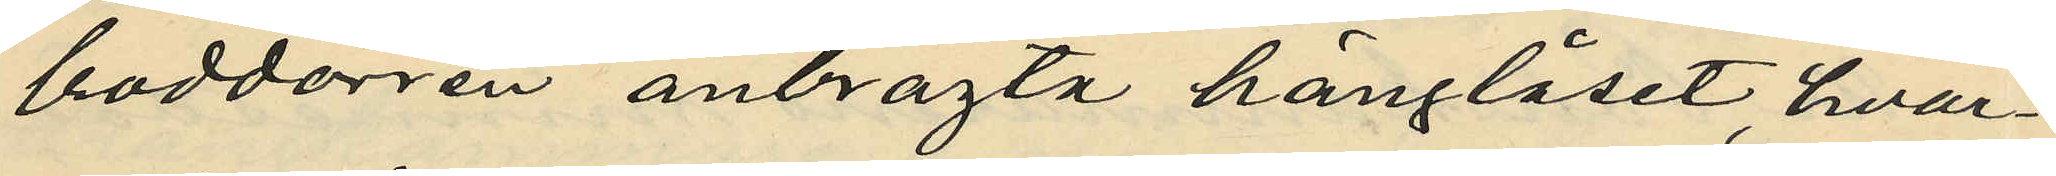boddörren anbragta hänglåset, hvar¬
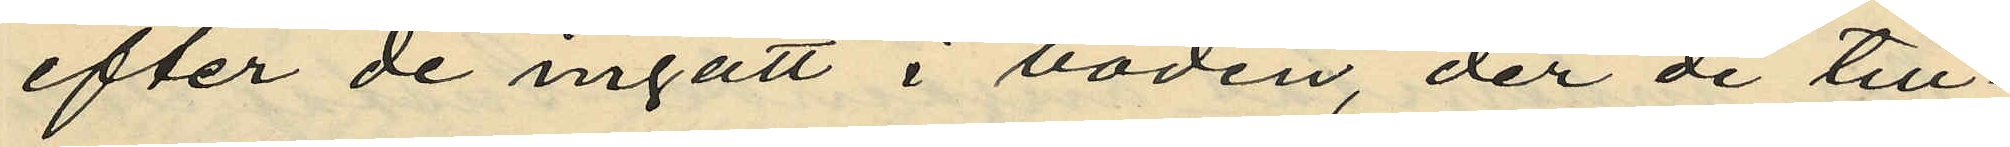efter de ingått i boden, der de till¬
